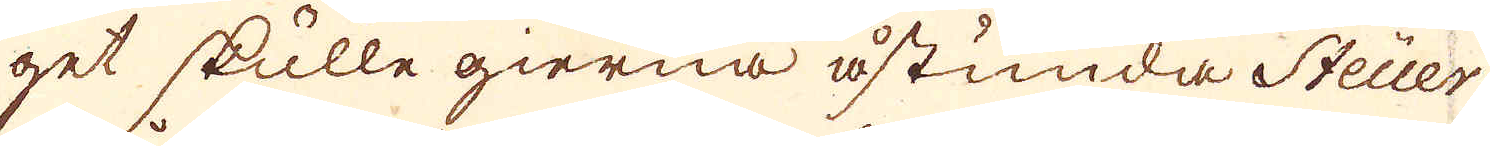get skulle gierna åstunda Steuer
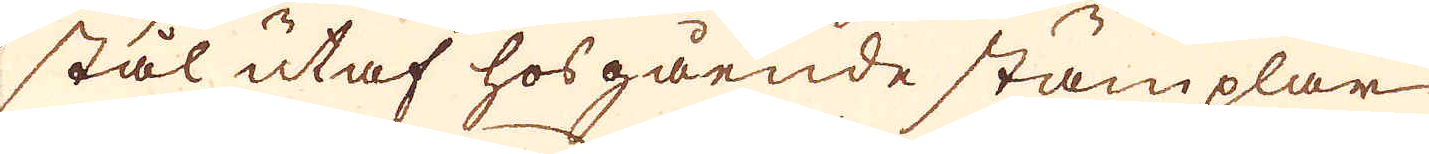stål utaf hosgående stämplar
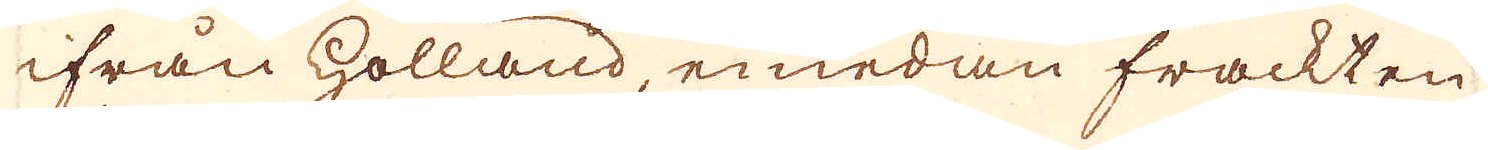ifrån Holland, emedan frackten
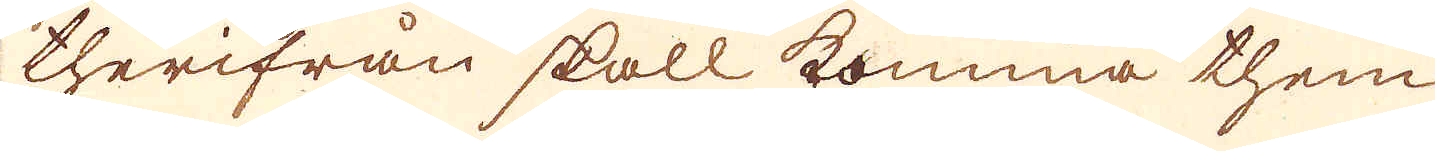therifrån skall komma them
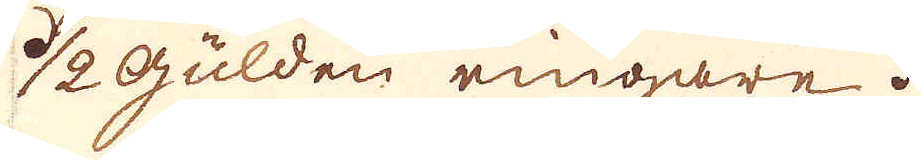1/2 gulden ringare.
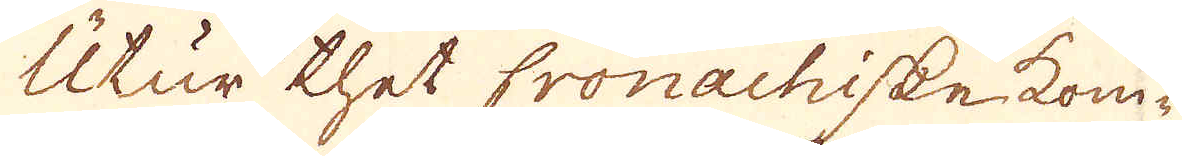Utur thet Cronachiske kom-
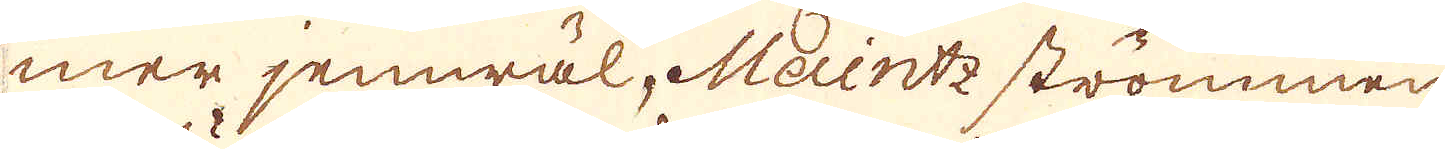mer jemwäl, Meintz strömmen
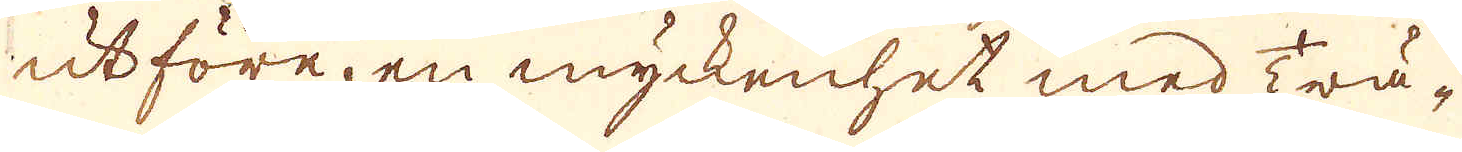utföre, en myckenhet med Trä-
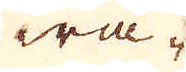wa-
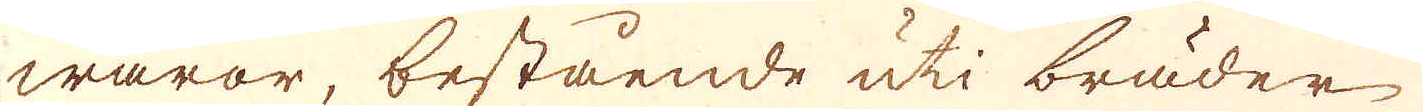waror, bestående uti bräder
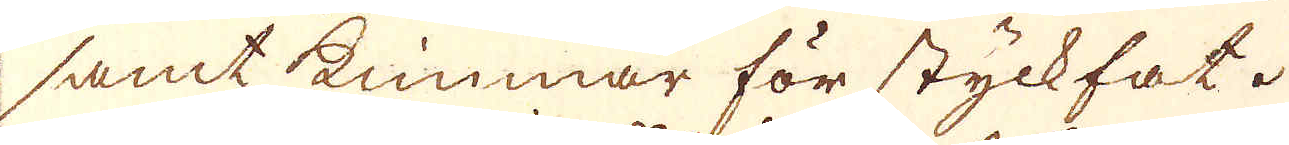samt kimmar för styckfat.
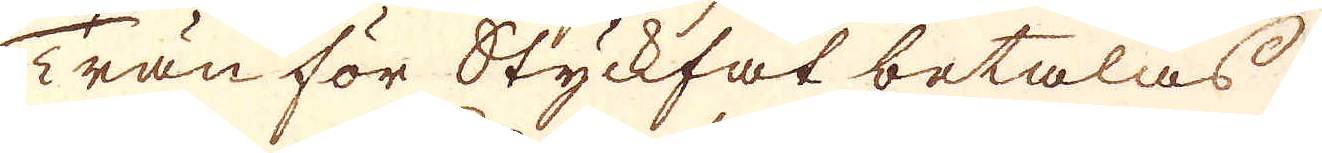Trän för Styckfat betalas
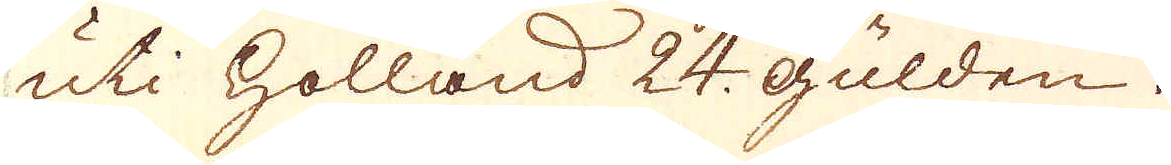uti Holland 24. Gulden.
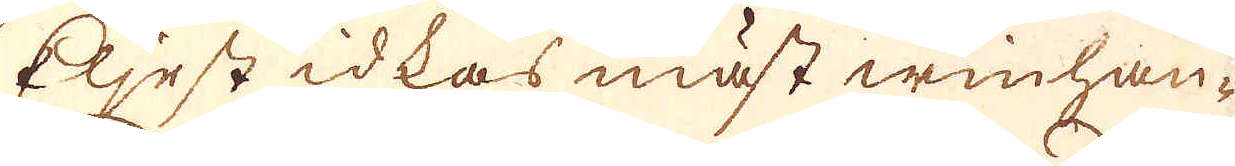Eljest idkas mäst winhan-
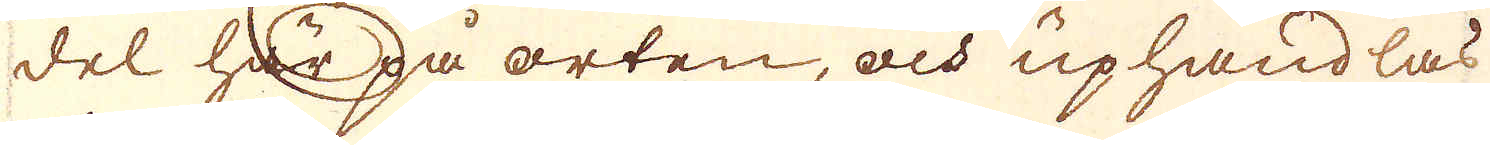del här på orten, och uphandlas
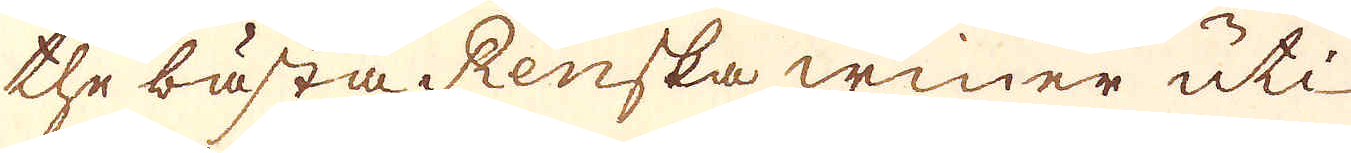the bästa Renska winer uti
